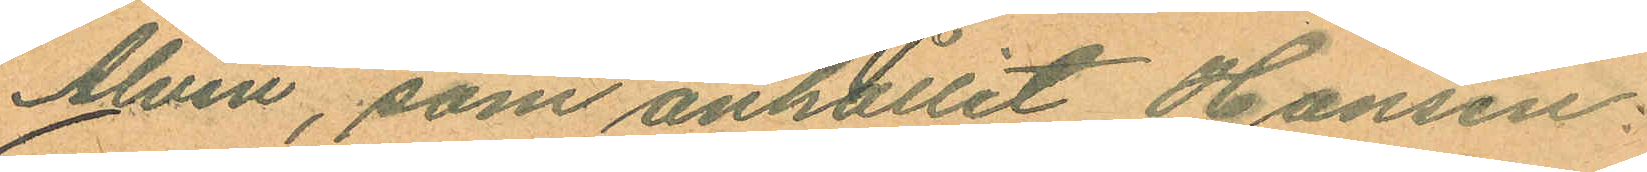Alvin, som anhållit Hansen:
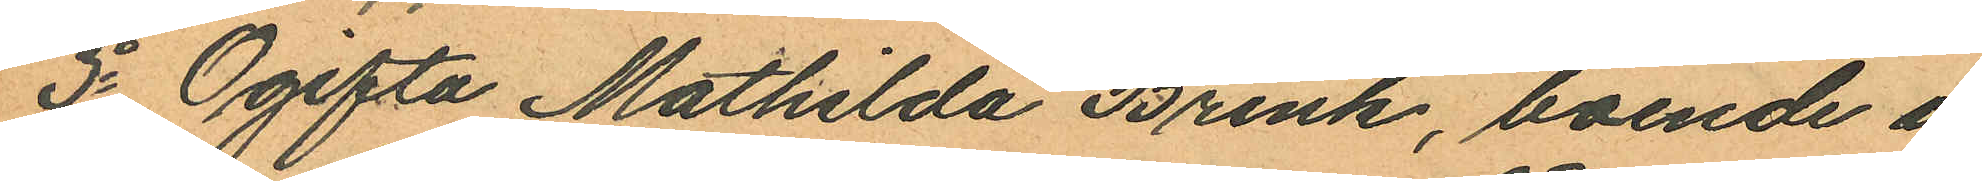3o Ogifta Mathilda Brink, boende i
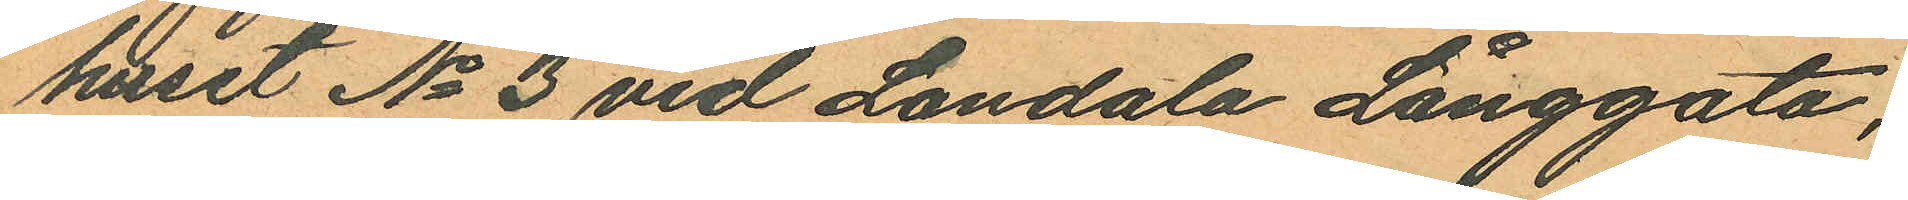huset No 3 vid Landala Långgata,
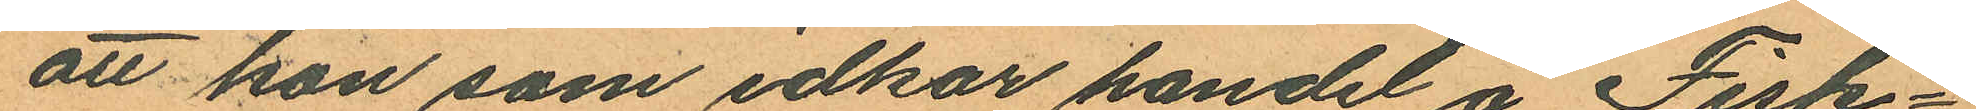att hon som idkar handel å Fisk¬
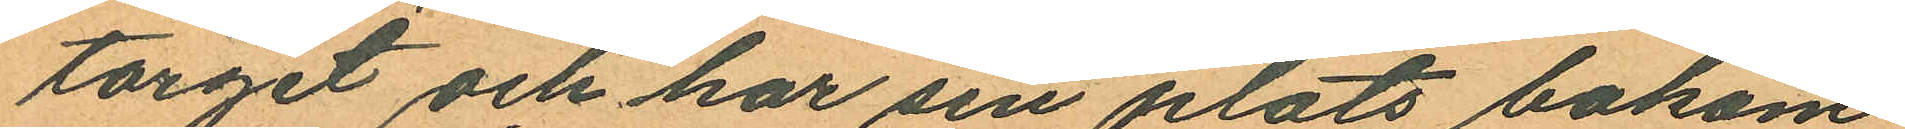torget och har sin plats bakom
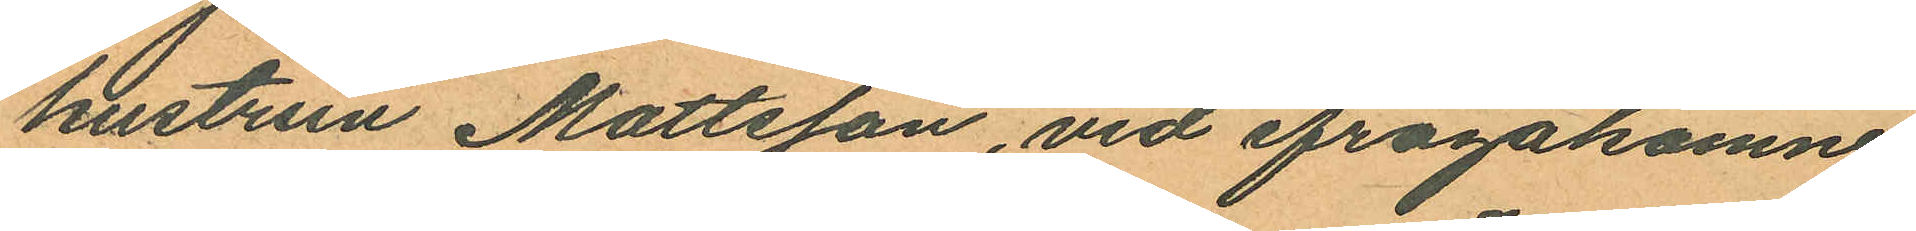hustrun Mattsson, vid ifrågakomne
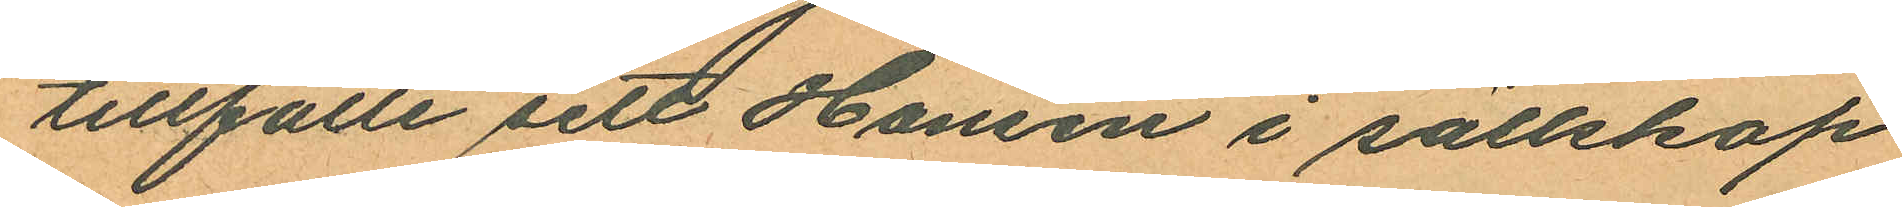tillfälle sett Hansen i sällskap
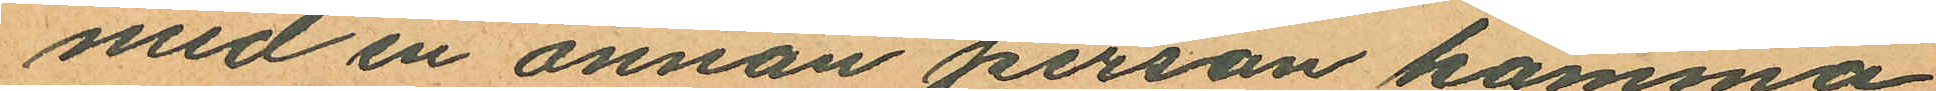med en annan person komma
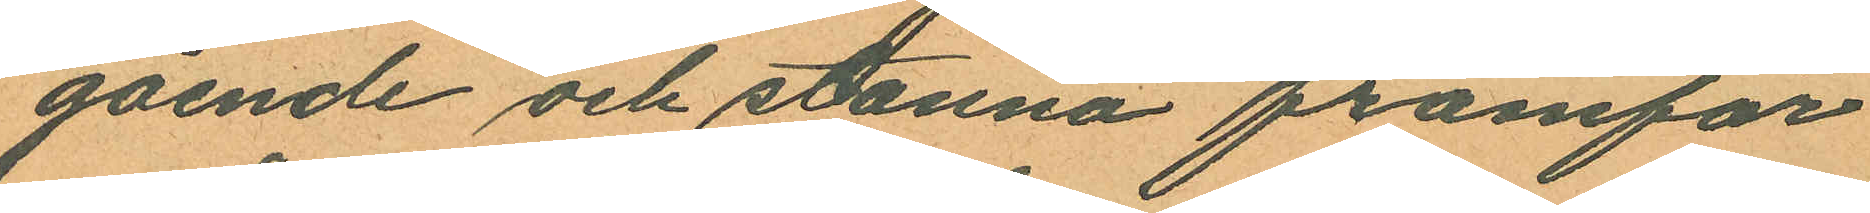gående och stanna framför
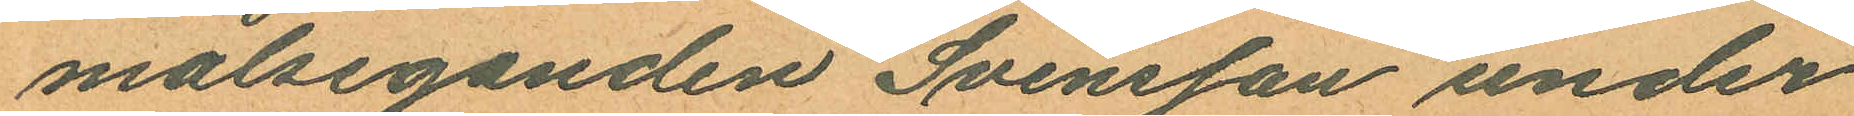målseganden Svensson under
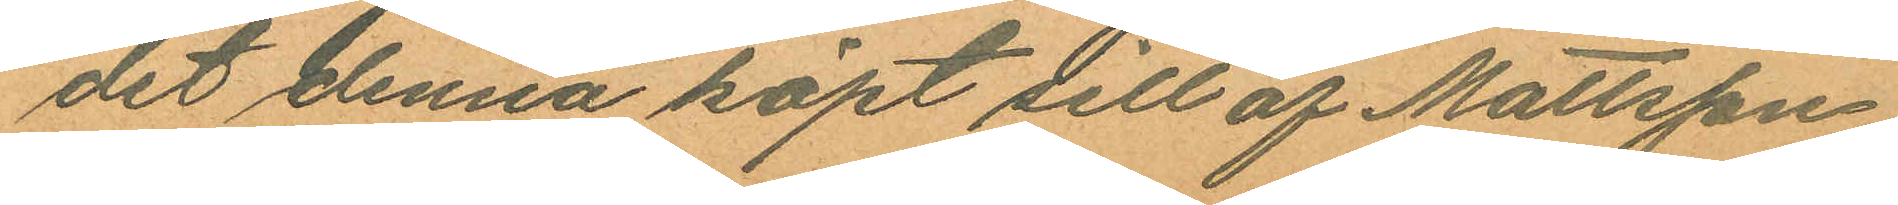det denna köpt sill af Mattsson;
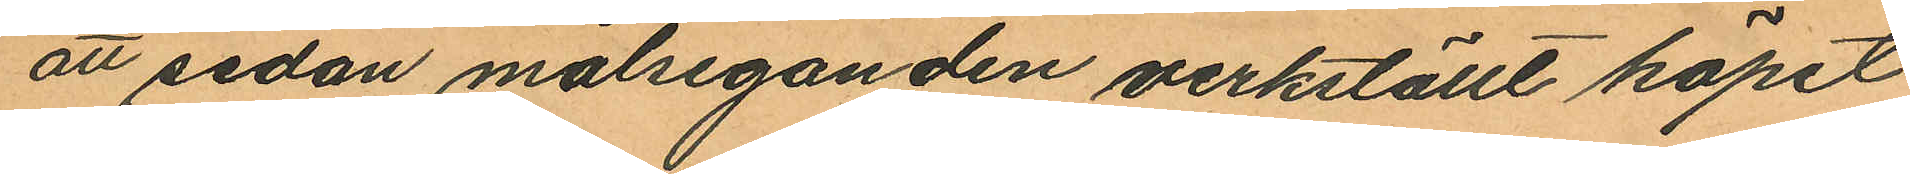att sedan målseganden verkställt köpet
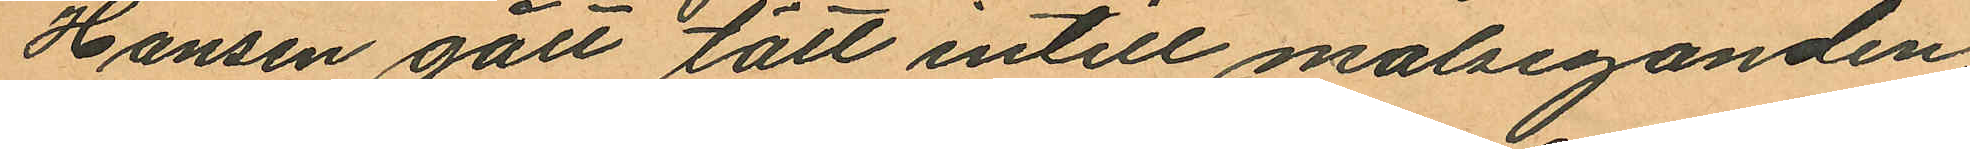Hansen gått tätt intill målseganden;
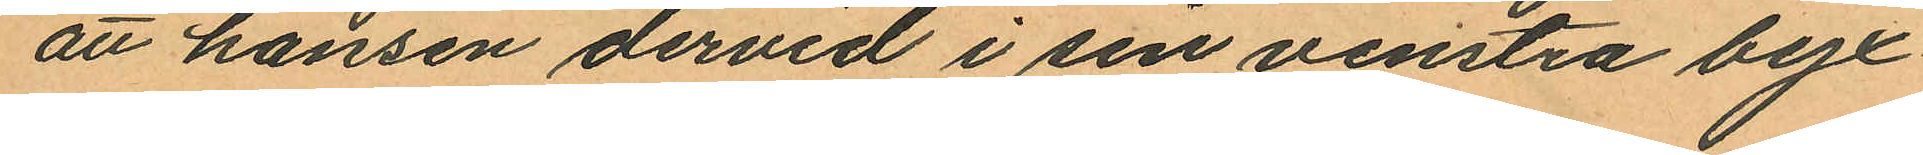att hansen dervid i sin venstra byx¬
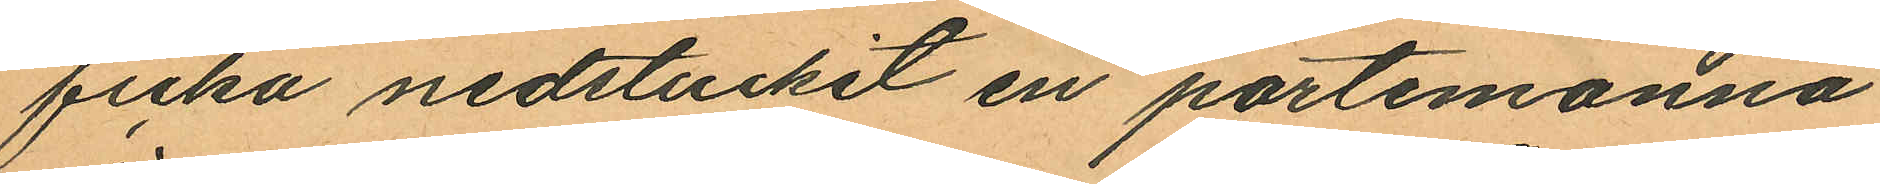ficka nedstuckit en portemonnä
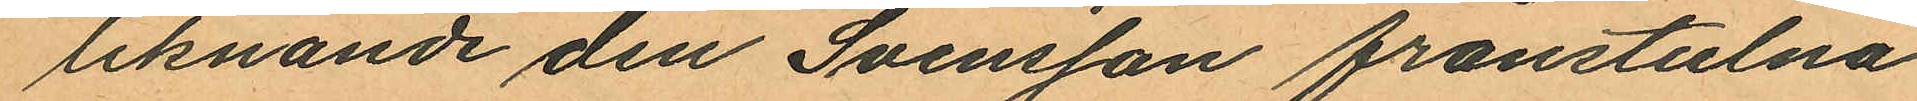liknande den Svensson frånstulna
